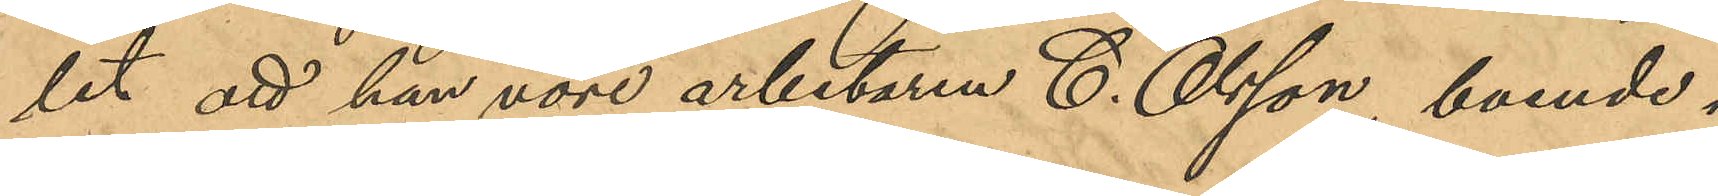let att han vore arbetaren C. Olsson, boende i
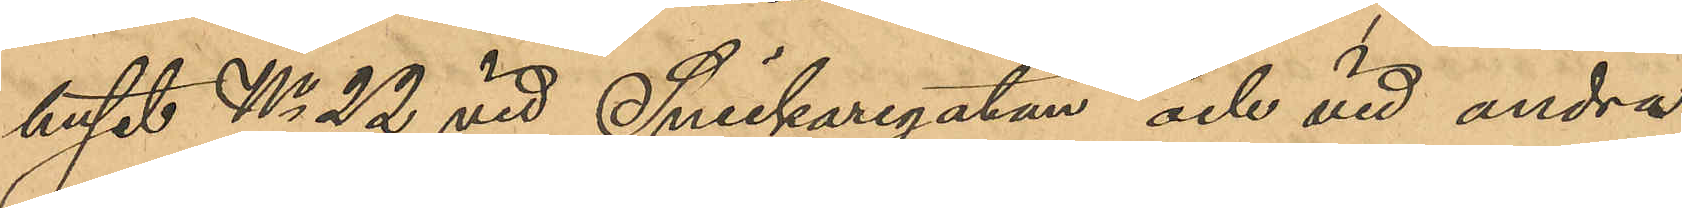huset No 22 vid Snickaregatan och vid andra
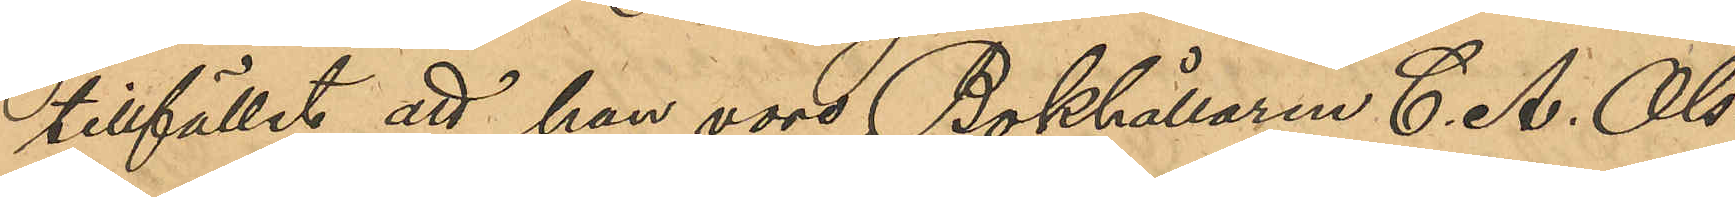tillfället att han vore Bokhållaren C. A. Ols¬
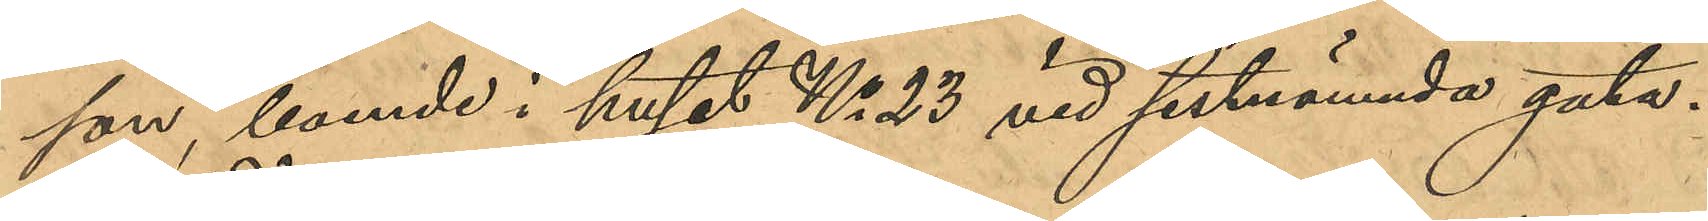son, boende i huset No 28 vid sistnämnda gata.
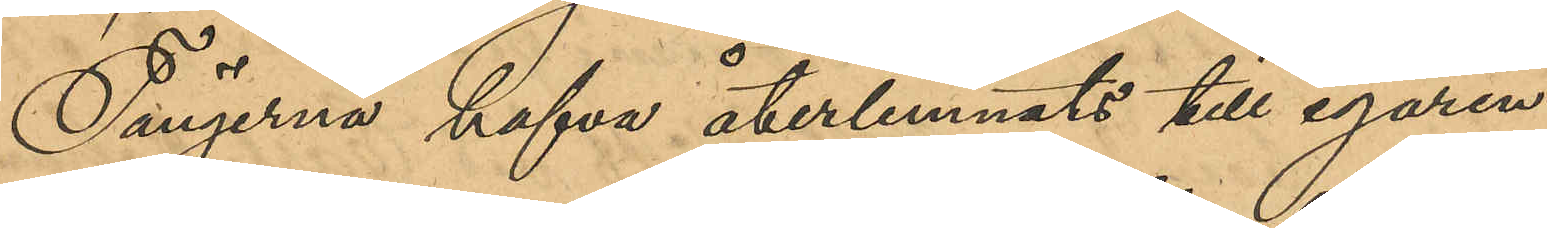Tängerna hafva återlemnats till egaren.
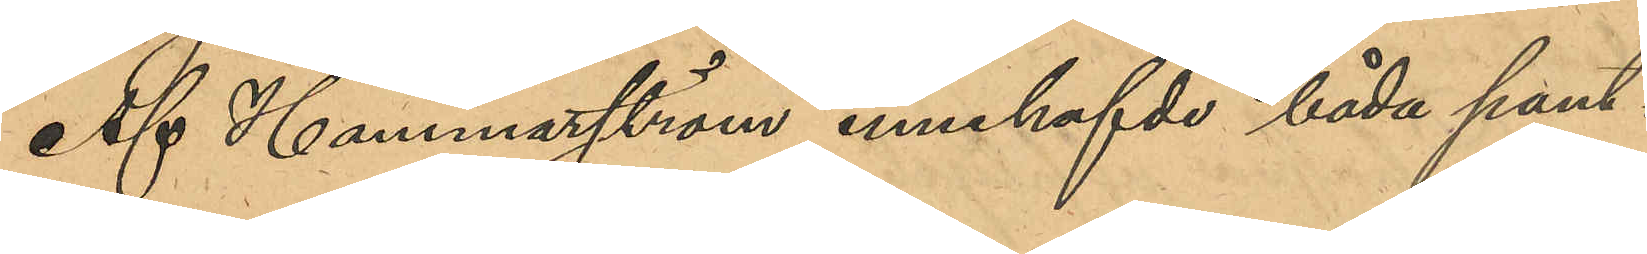Af Hammarström innehafde båda pant¬
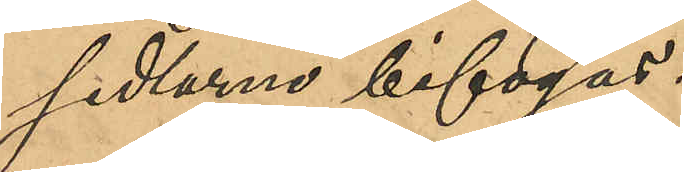sedlarne bifogas.
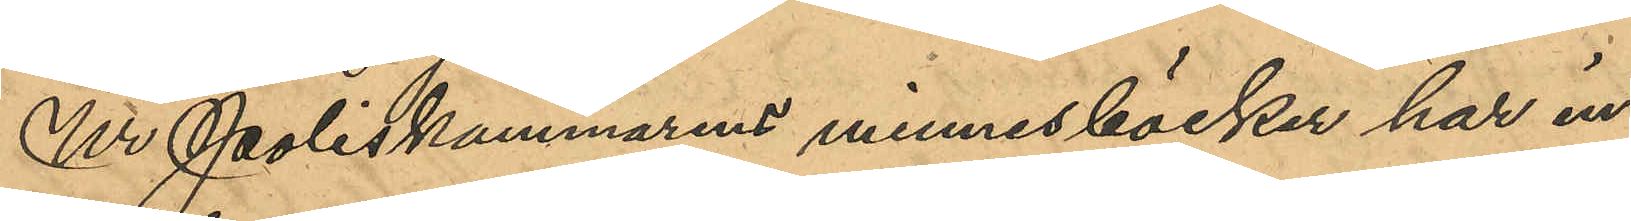Ur Poliskammarens minnesböcker har in¬
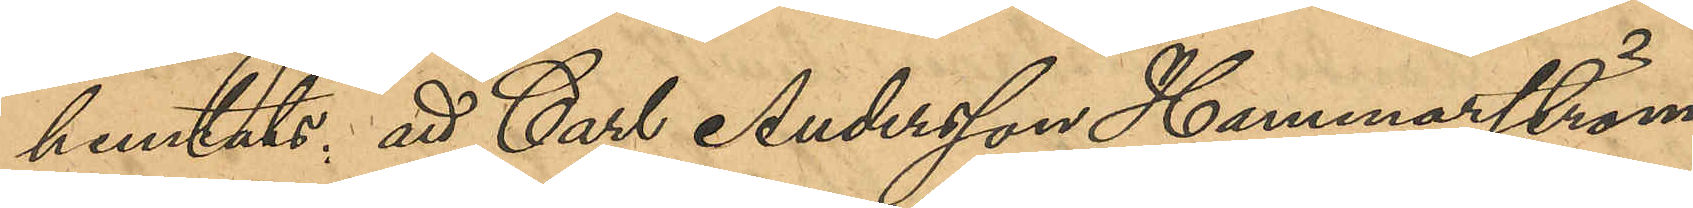hemtats: att Carl Andersson Hammarström
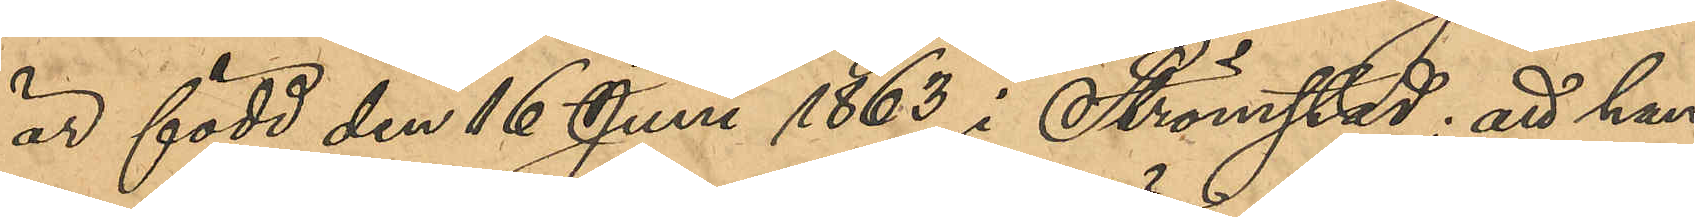är född den 16 Juni 1863 i Strömstad; att han
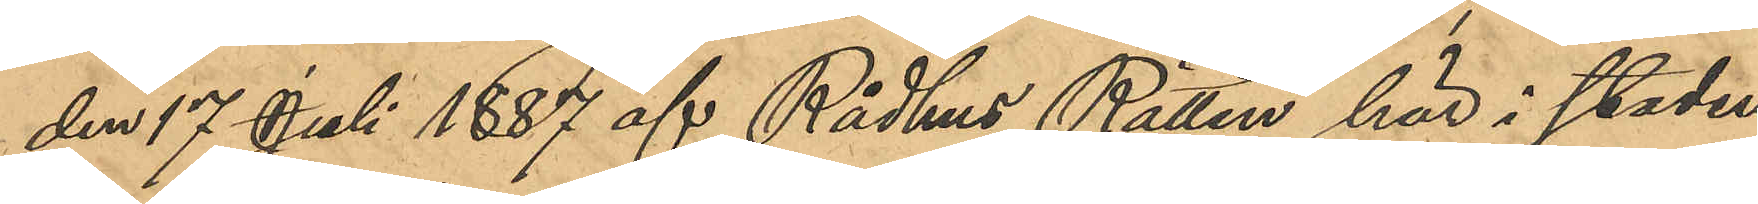den 17 Juli 1887 af Rådhus Rätten här i staden
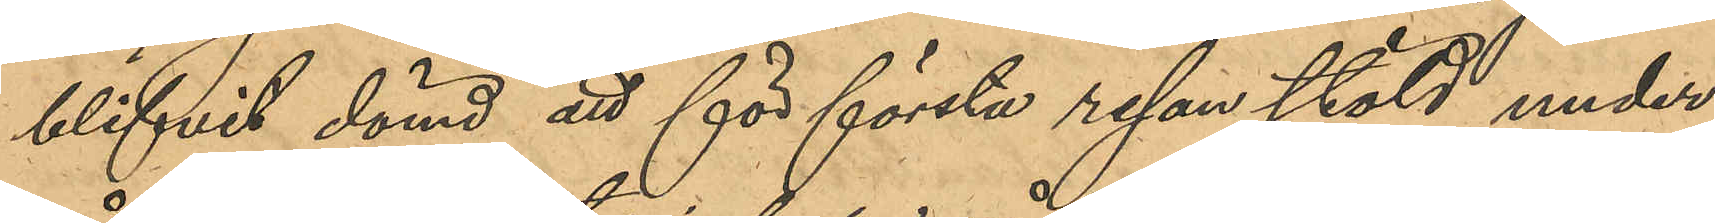blifvit dömd att för första resan stöld under¬
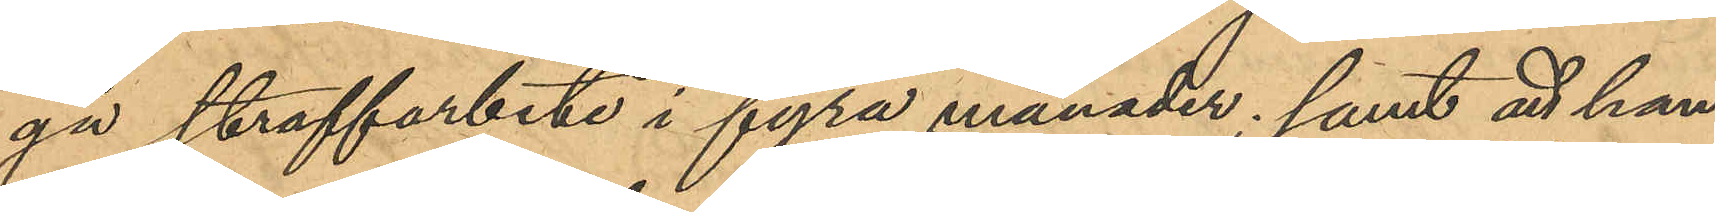gå bestraffning i fyra månader; samt att han
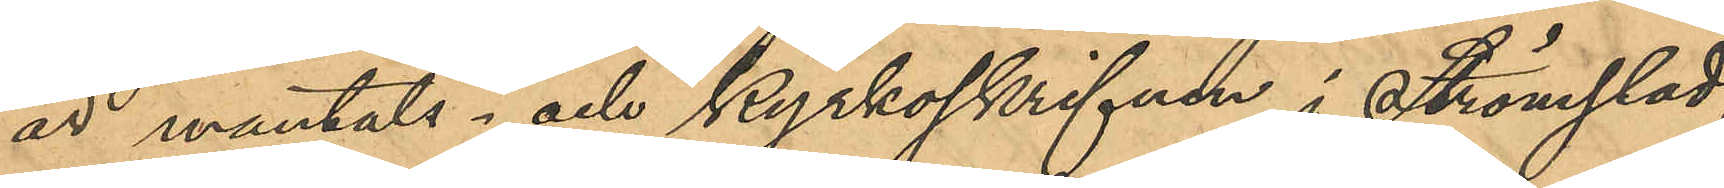är mantals- och kyrkoskrifven i Strömstad.
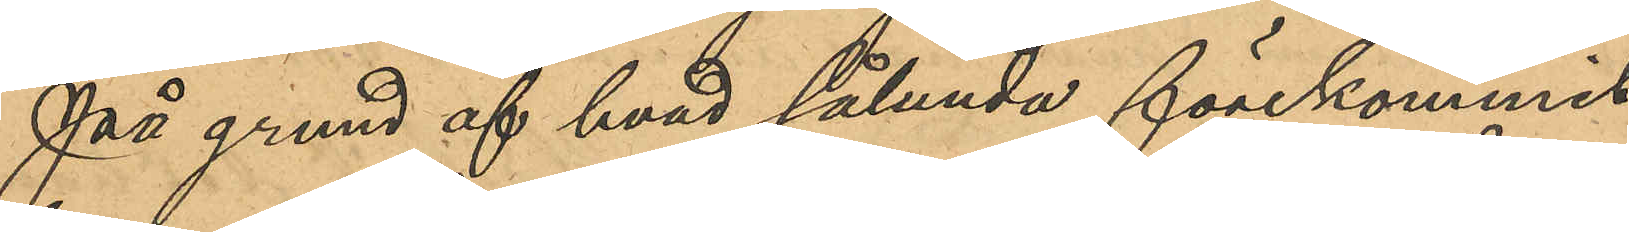På grund af hvad sålunda förekommit
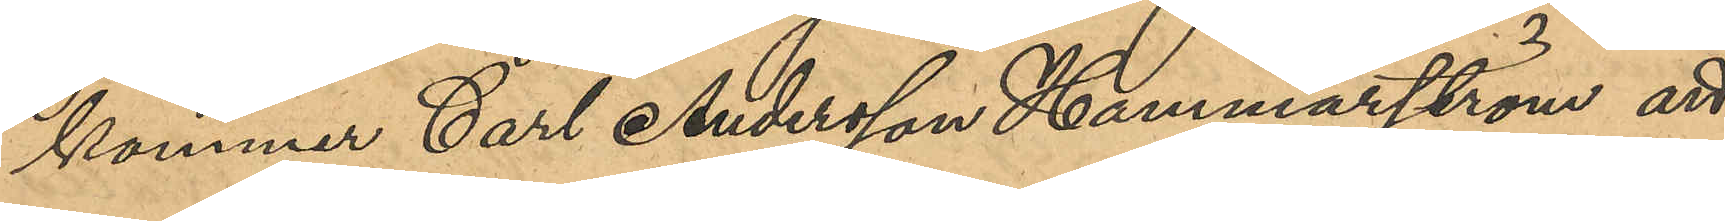kommer Carl Andersson Hammarström att
